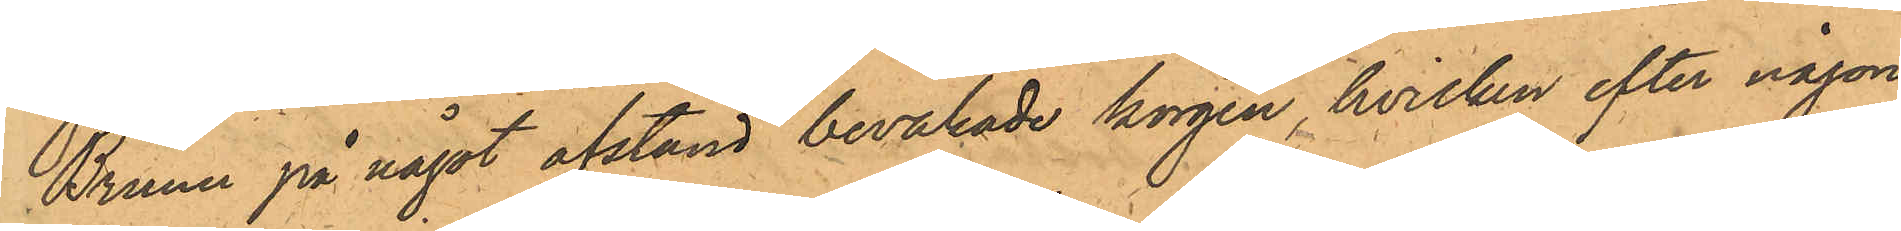Bruun på något afstånd bevakade korgen, hvilken efter någon
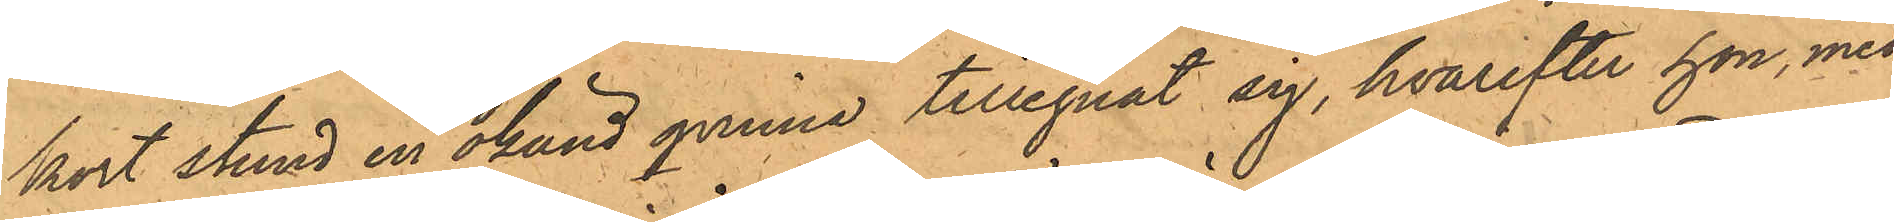kort stund en okänd qvinna tillegnat sig, hvarefter hon, med
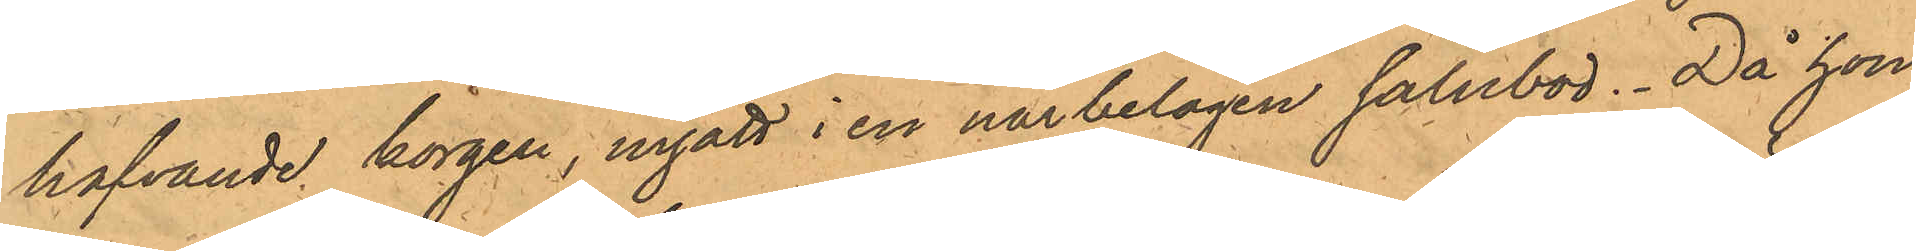hafvande korgen, ingått i en närbelägen salubod. Då hon
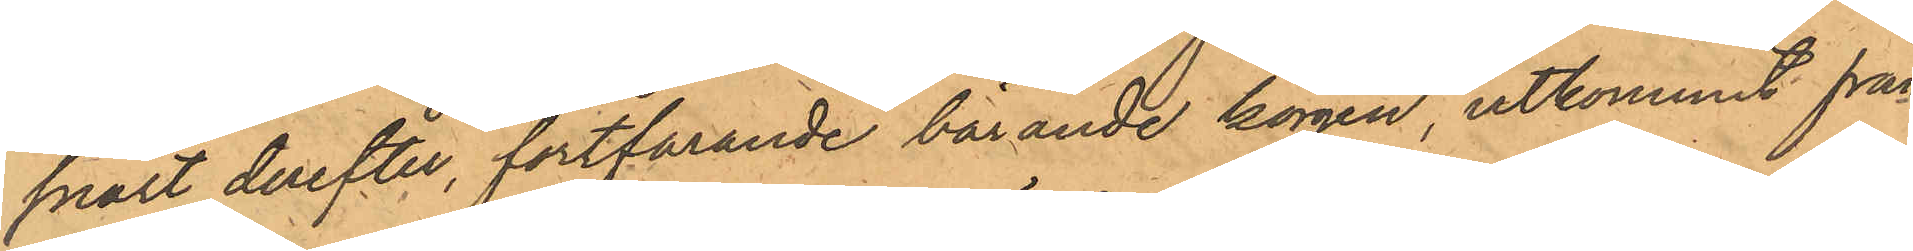snart derefter, fortfarande bärande korgen utkommit från
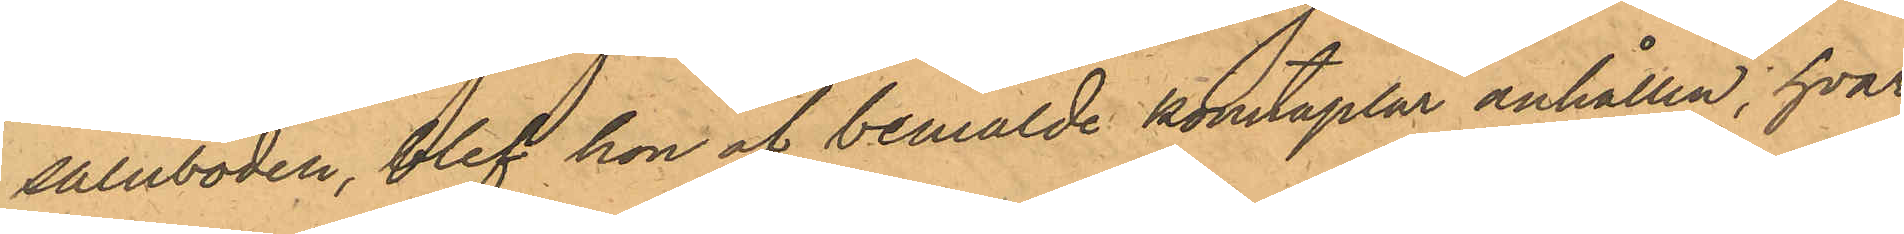saluboden, blef hon af bemälde konstaplar anhållen, hvar¬
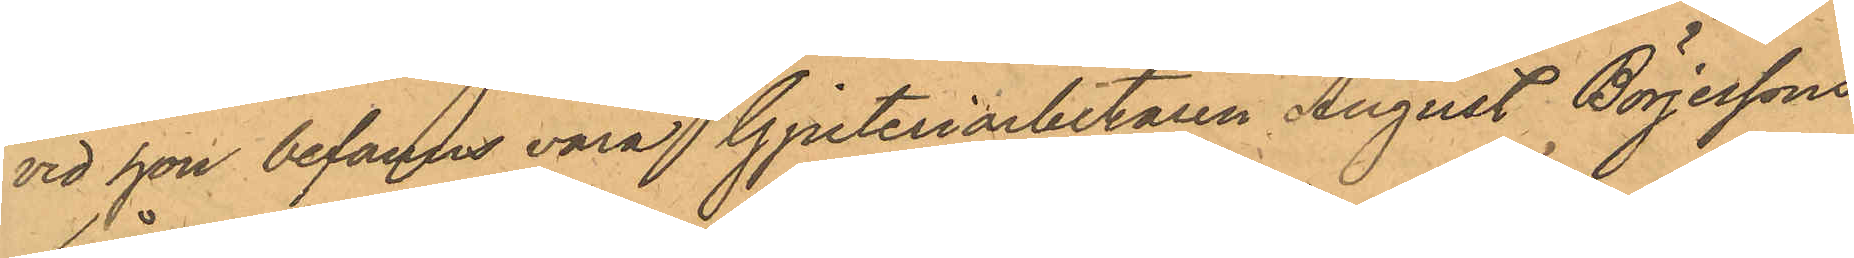vid hon befanns vara Gjuteriarbetaren August Börjessons
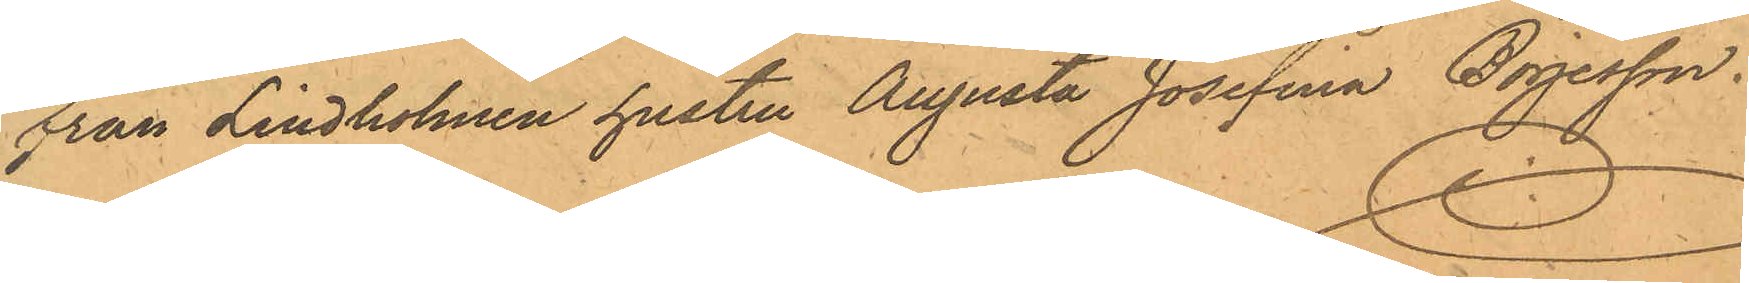från Lindholmen hustru Augusta Josefina Böjesson.
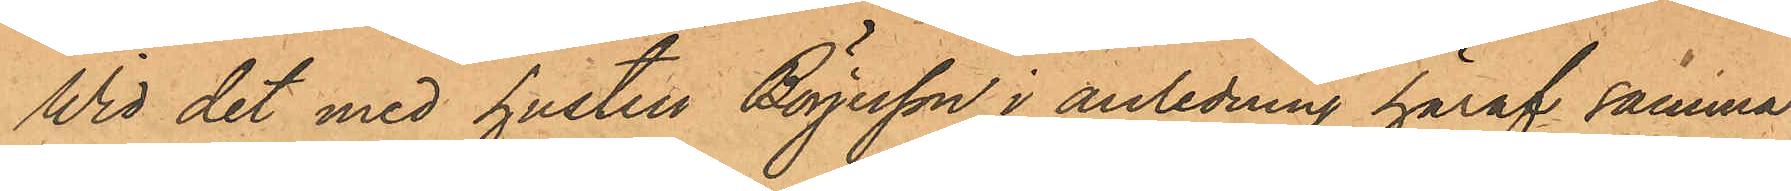Wid det med hustru Börjesson i anledning häraf samma
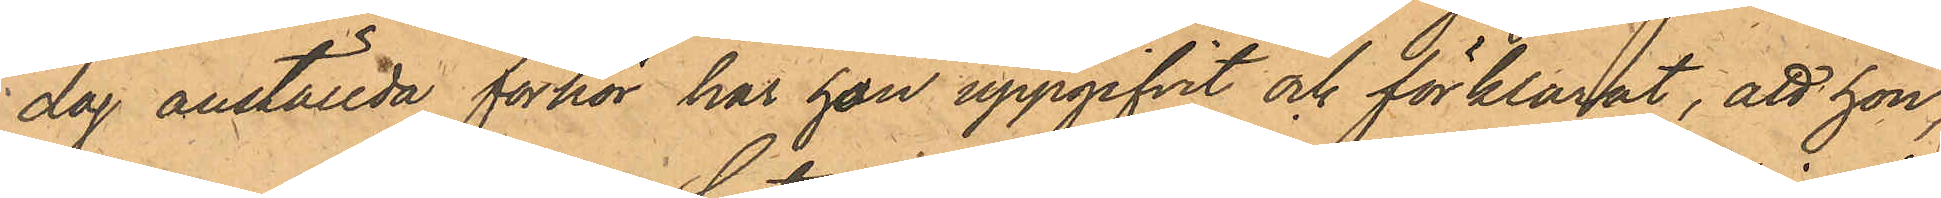dag anställda förhör har hon uppgifvit och förklarat, att hon,
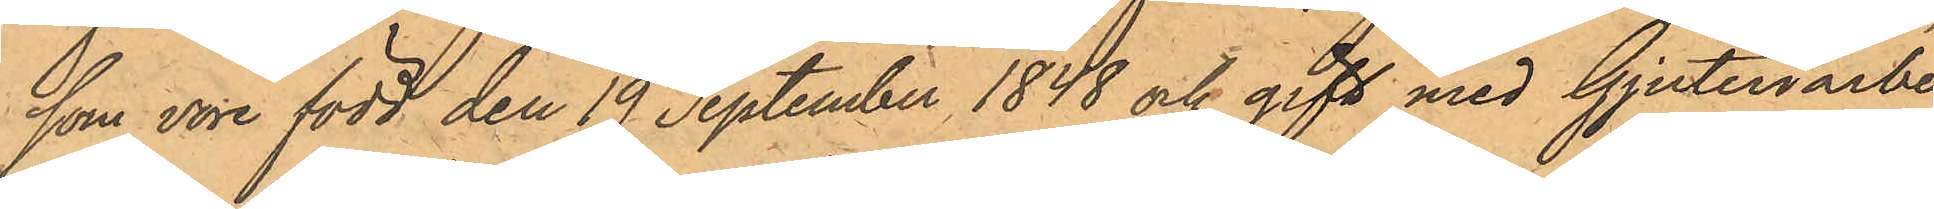som vore född den 19 September 1848 och gift med Gjuteriarbe¬
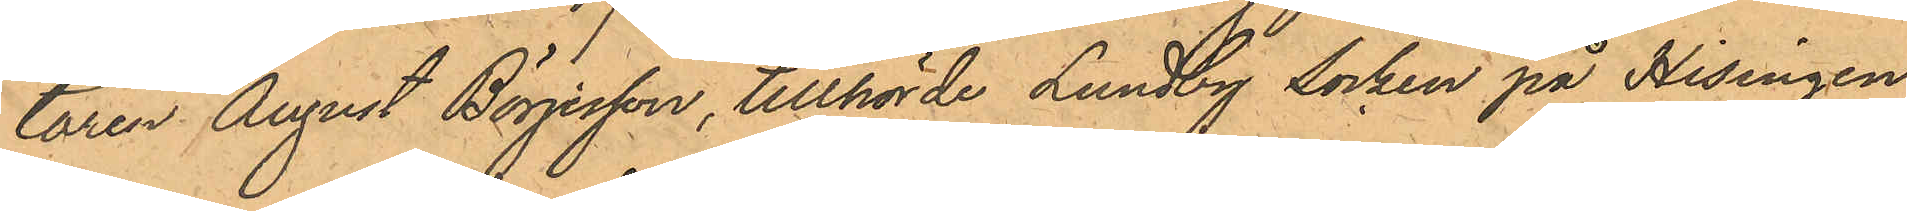taren August Börjesson, tillhörde Lundby socken på Hisingen,
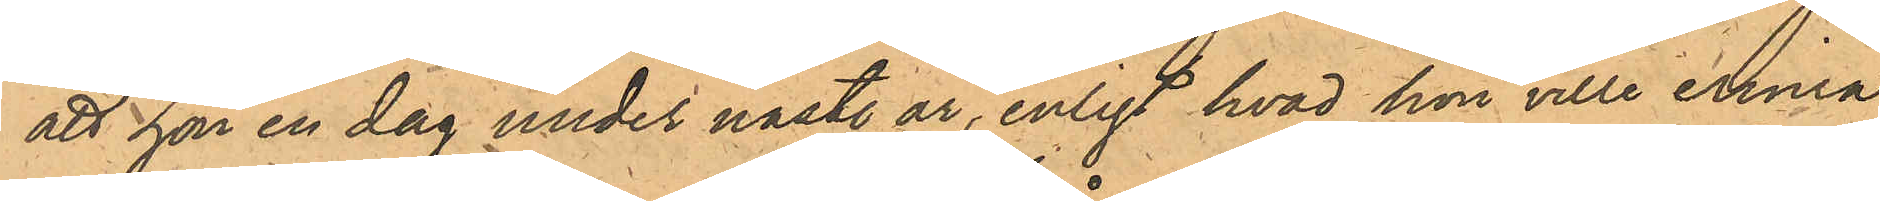att han en dag under näst. år, enligt hvad hon ville erinra
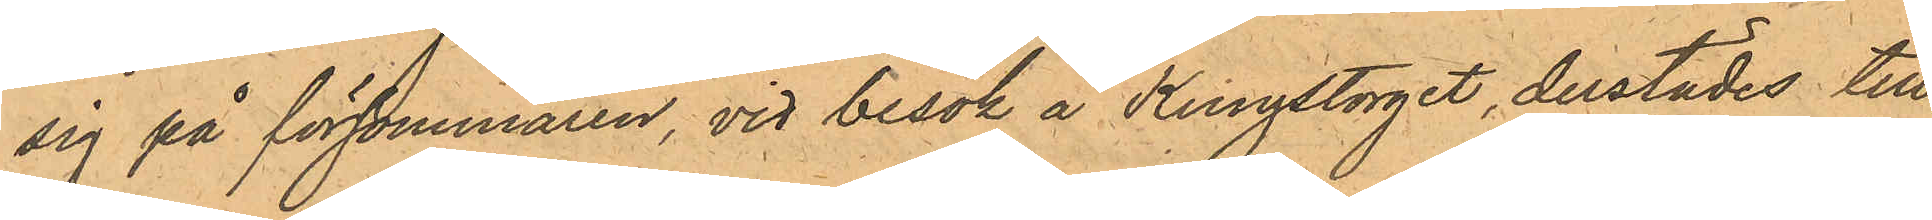sig på försommaren, vid besök å Kungstorget, derstädes till¬
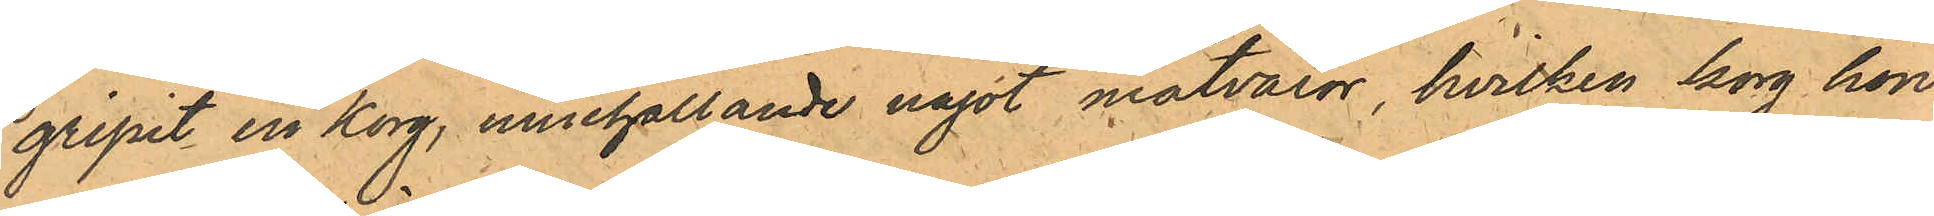gripit en korg, innehållande något matvaror, hvilken korg hon
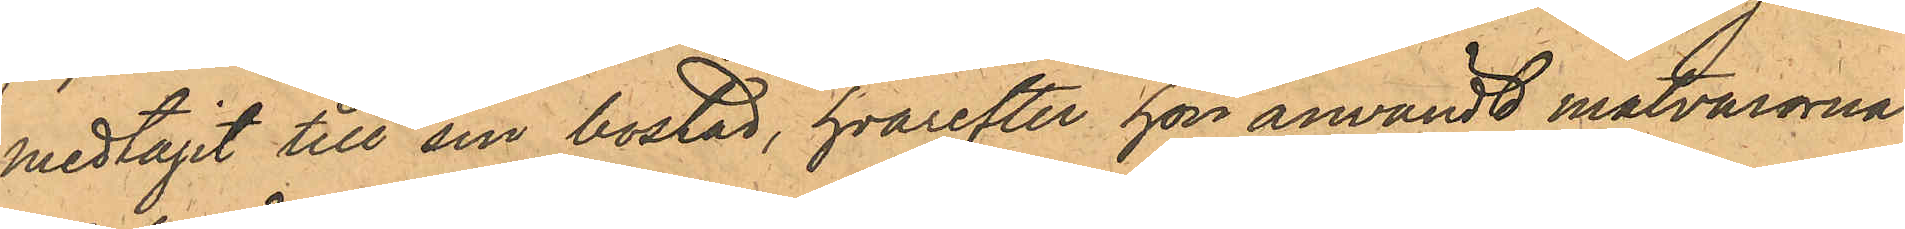medtagit till sin bostad, hvarefter hon användt matvarorna
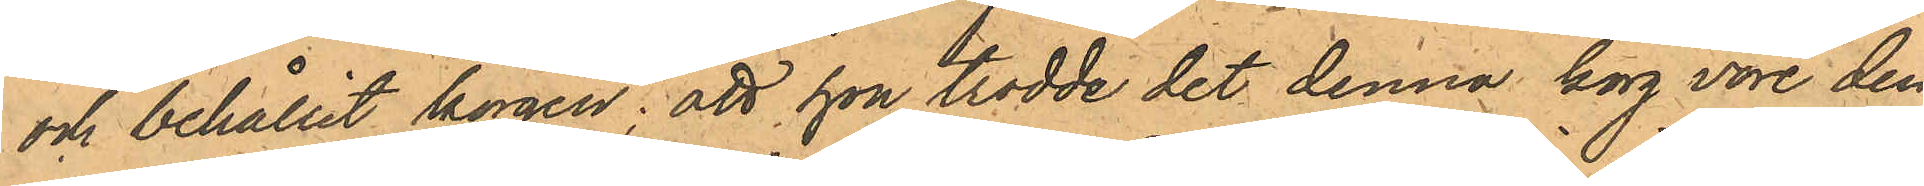och behållit korgen; att hon trodde det denna korg vore den¬
